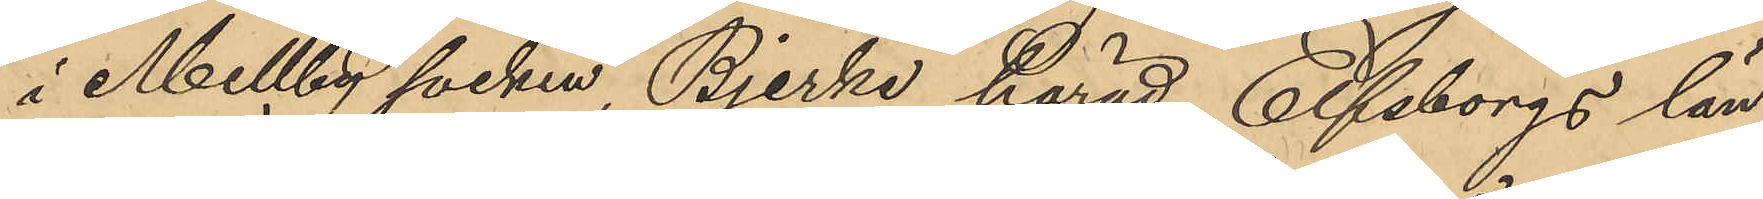i Mellby socken, Bjerke härad, Elfsborgs län
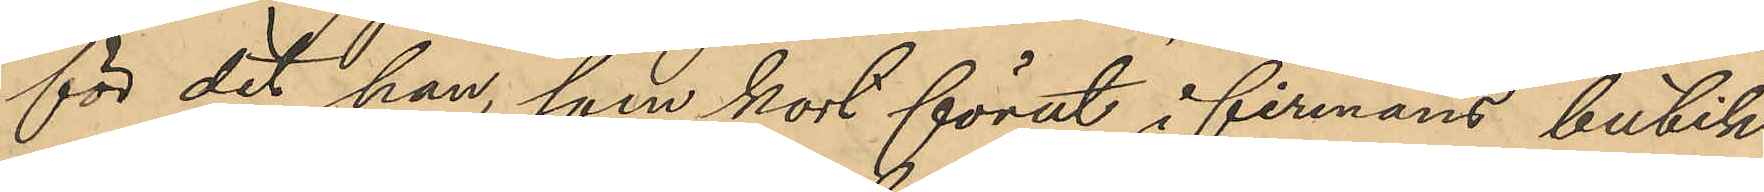för det han, som kort förut i firmans butik
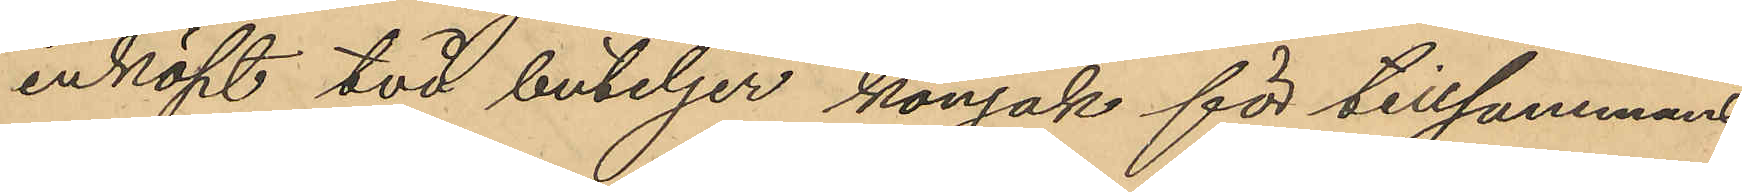inköpt två buteljer konjak för tillsammans
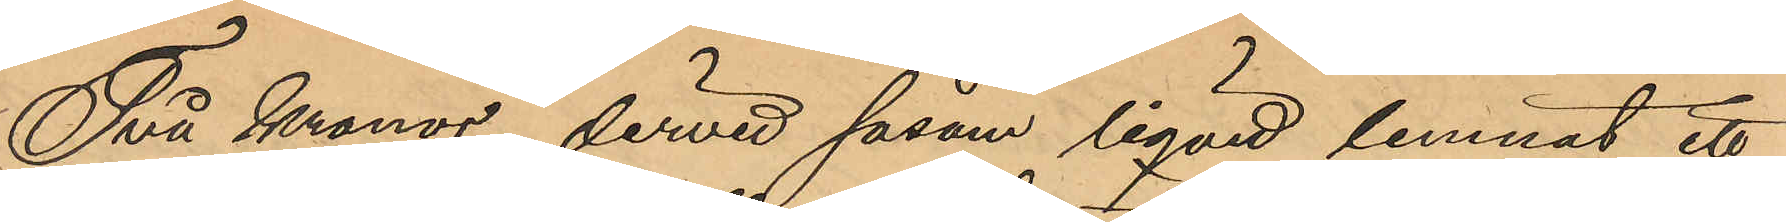Två Kronor, dervid såsom liqvid lemnat ett
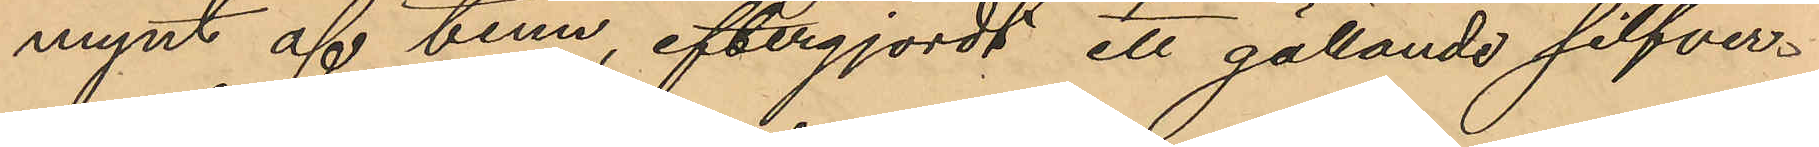mynt af tenn, eftergjordt ett gällande silfver¬
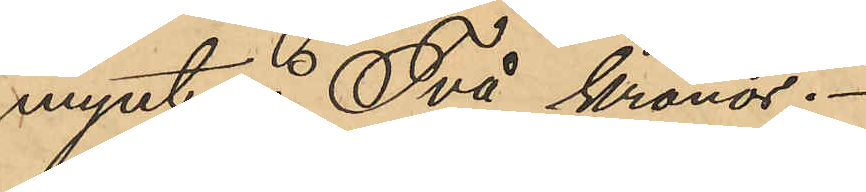mynt å Två kronor.
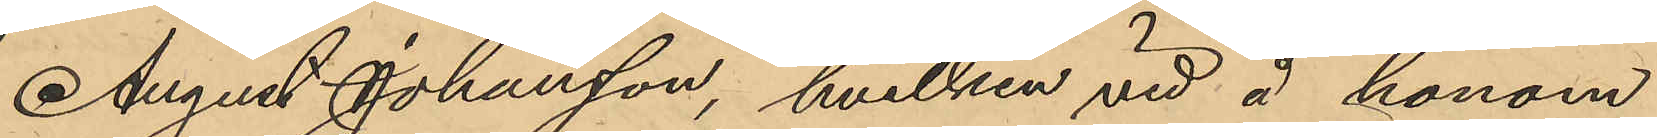August Johansson, hvilken vid å honom
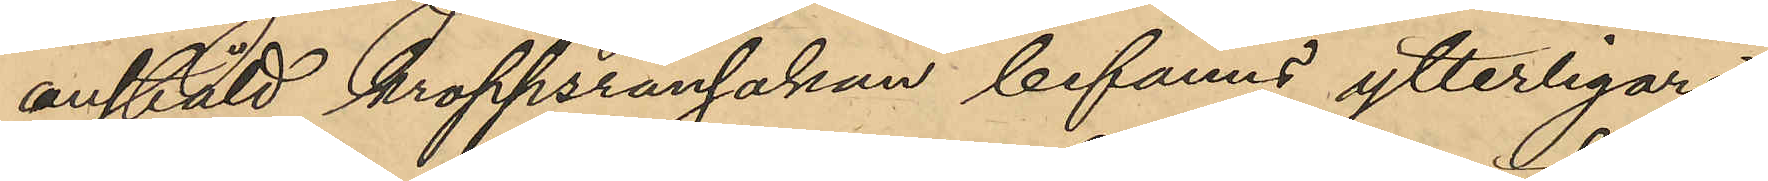anstäld kroppsransakan befanns ytterligare
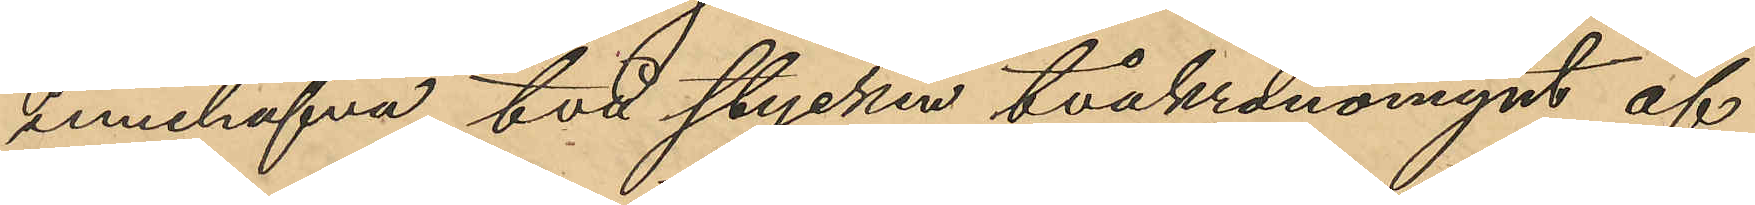innehafva två stycken tvåkronomynt af
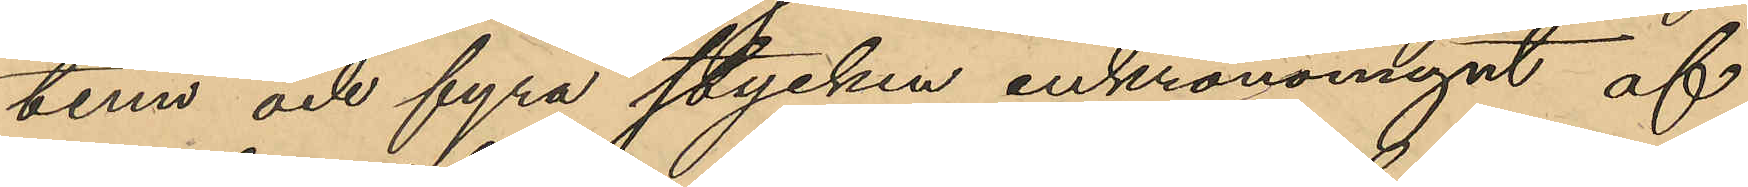tenn och fyra stycken enkronomynt af
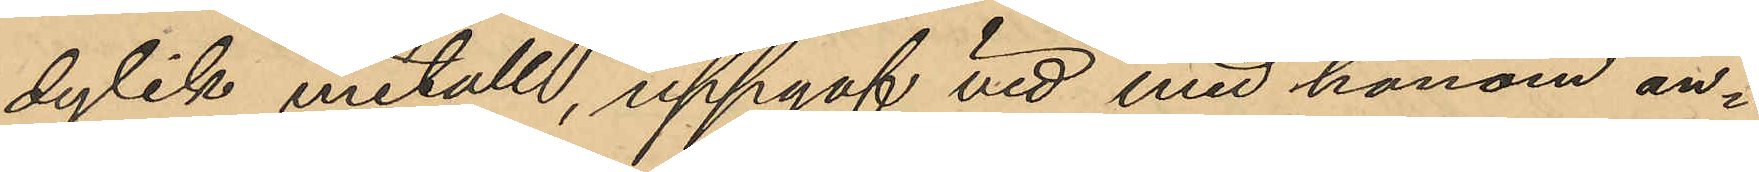dylik metall, uppgaf vid med honom an¬
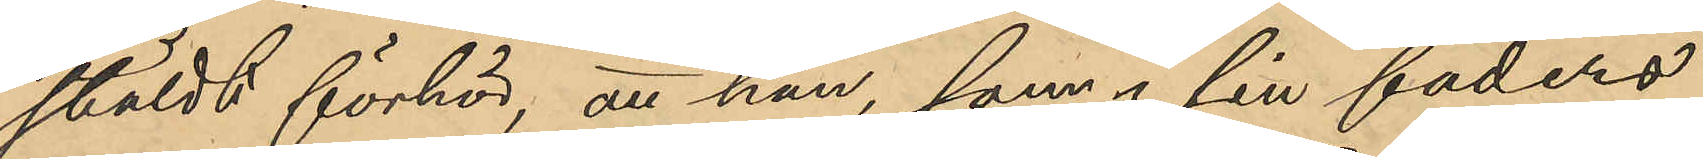stäldt förhör, att han, som i sin faders
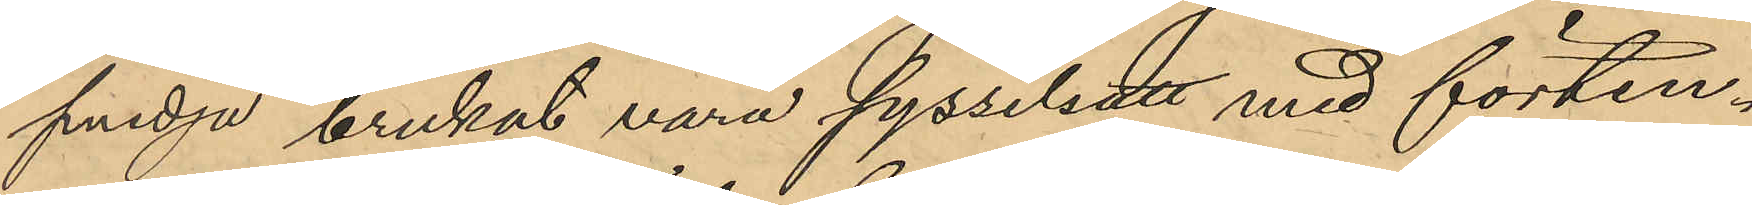smedja brukat vara sysselsatt med förten¬
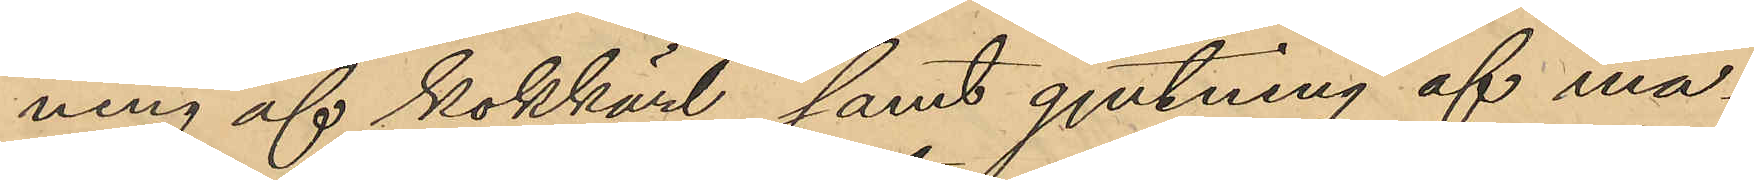ning af kokkärl samt gjutning af ma¬
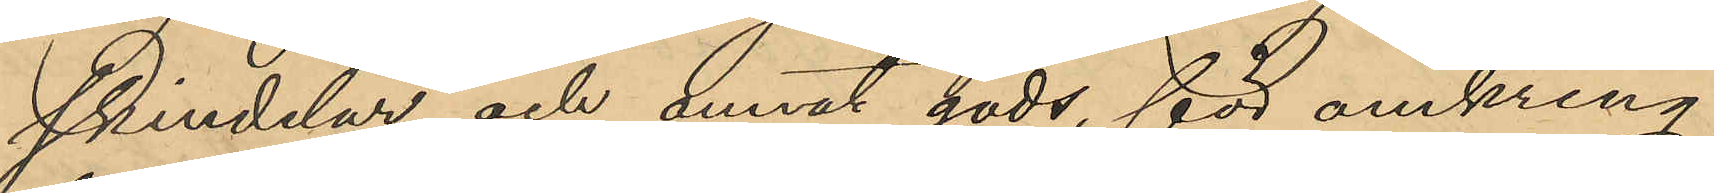skindelar och annat gods för omkring
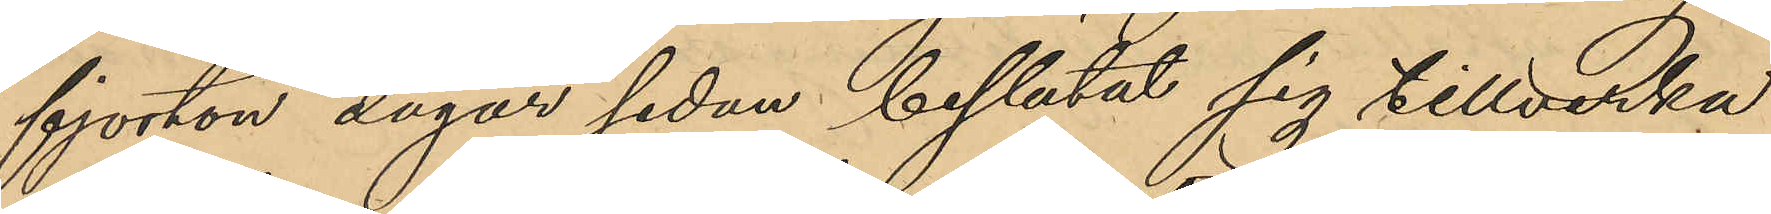fjorton dagar sedan beslutat sig tillverka
